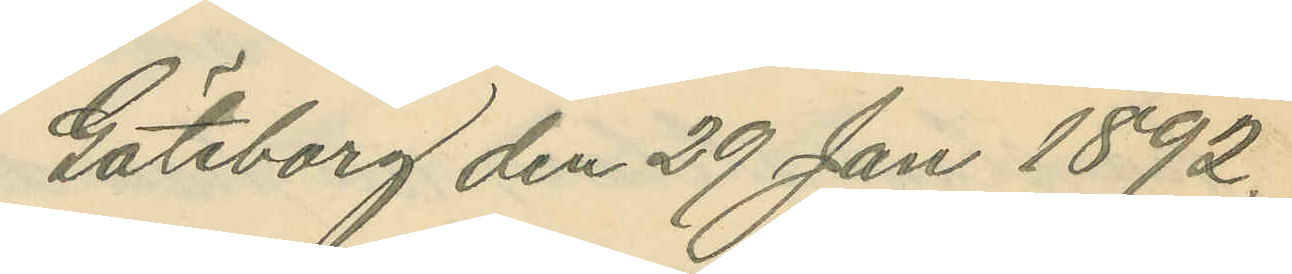Göteborg den 29 Jan 1892.
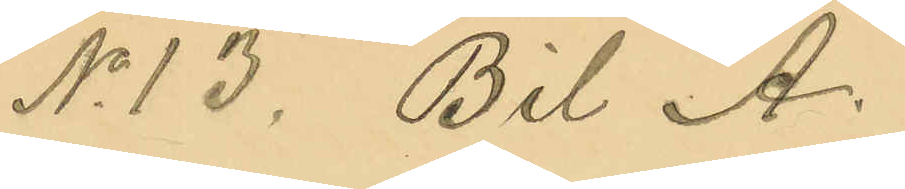No 13. Bil A.
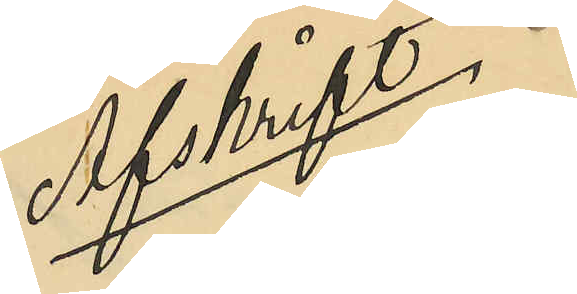Afskrift
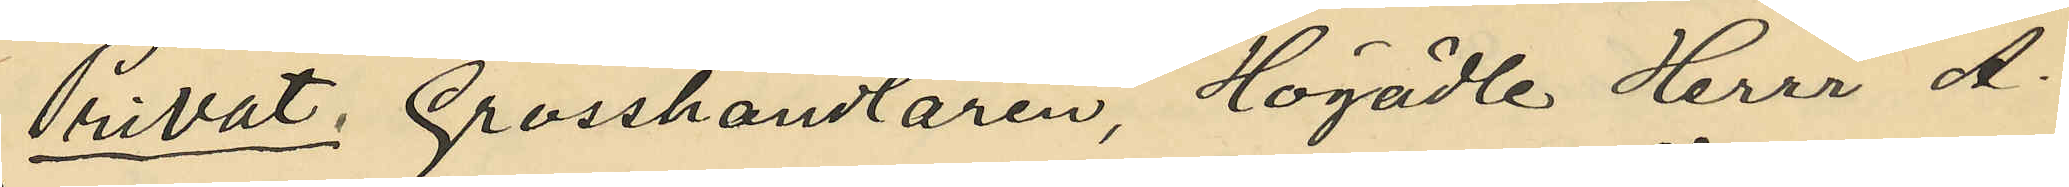Privat. Grosshandlaren, Högädle Herrr A.
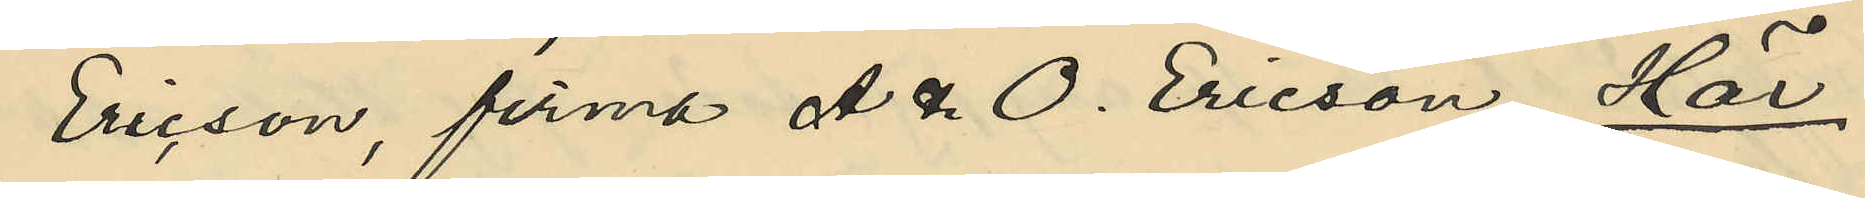Ericson, firma A. &. O. Ericson, Här.
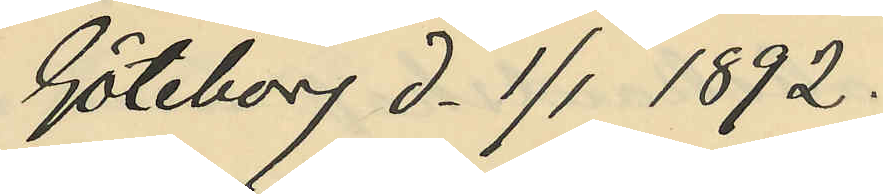Göteborg d. 1/1 1892.
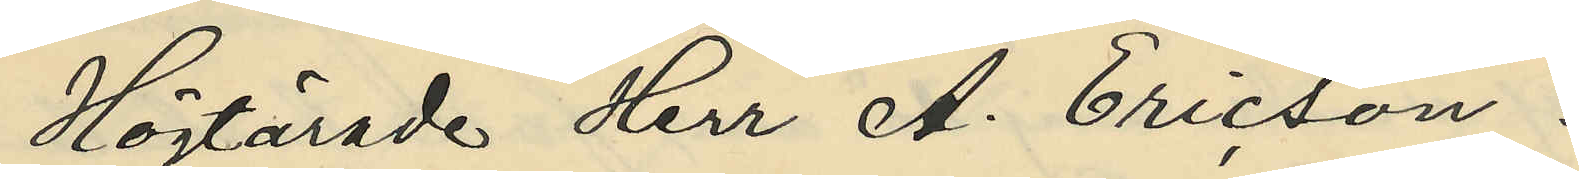Högtärade Herr A. Ericson!
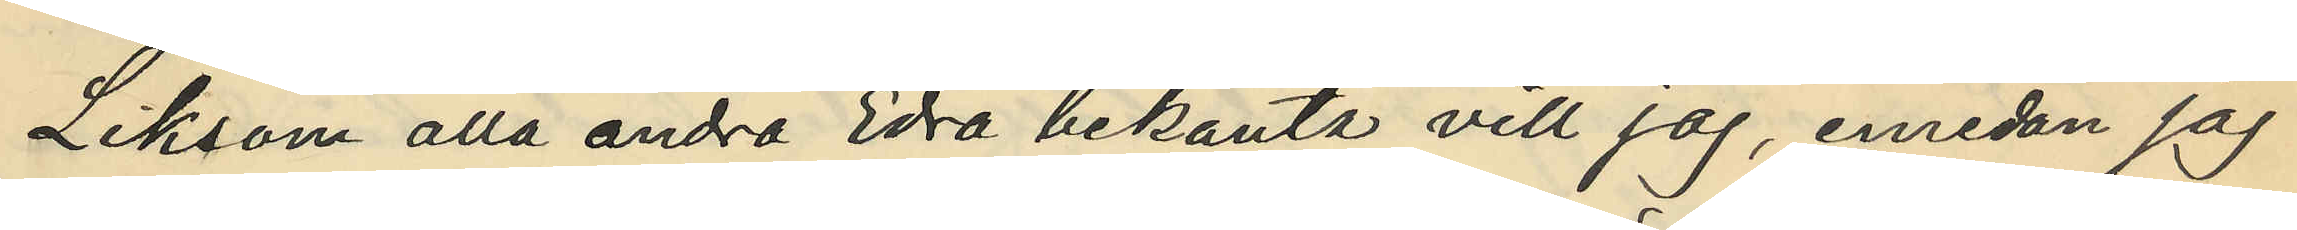Liksom alla andra Edra bekanta vill jag, emedan jag
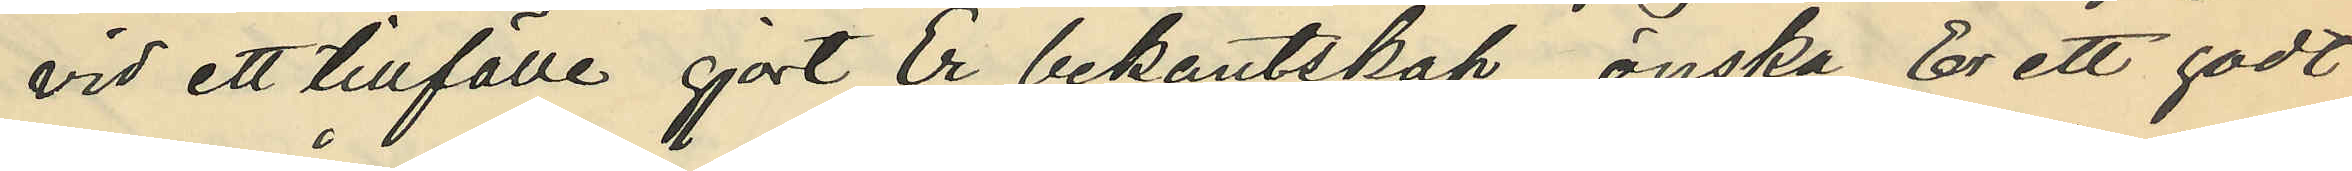vid ett tillfälle gjort Er bekantskap önska Er ett godt
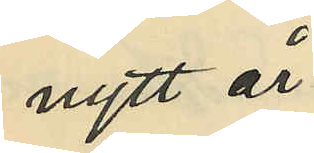nytt år.
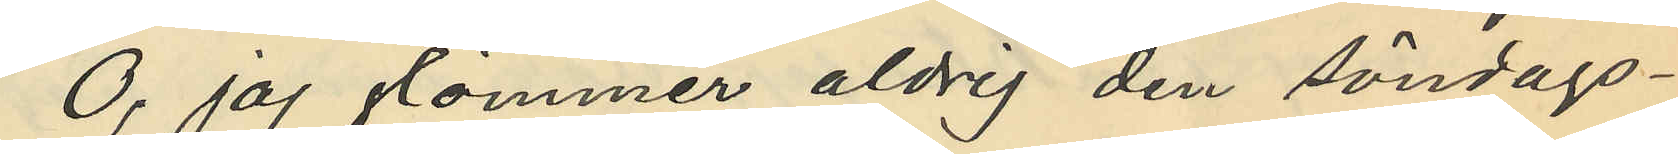0, jag glömmer aldrig den söndags¬
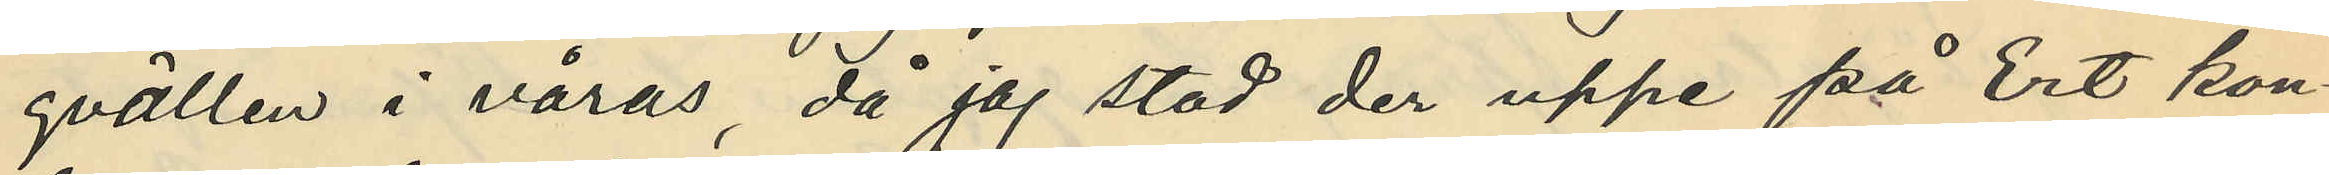qvällen i våras då jag stod der uppe på Ert kon¬
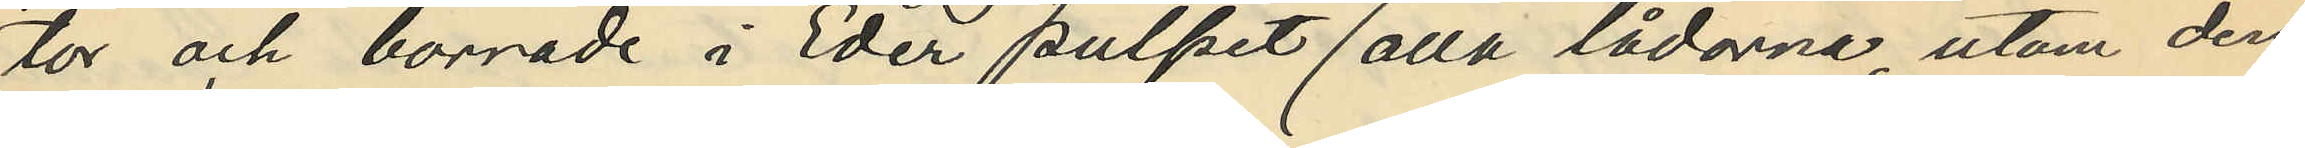tor och borrade i Eder pulpet (alla lådorna, utom den
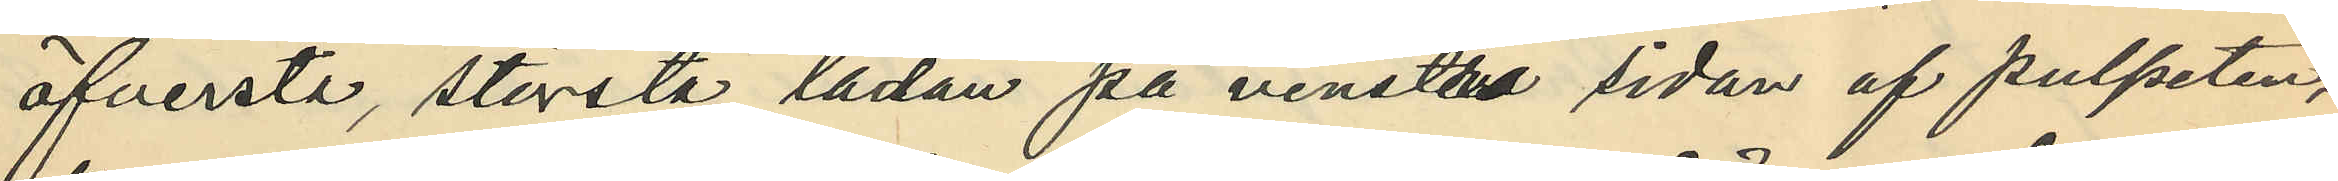öfversta, största lådan på venstra sidan af pulpeten,
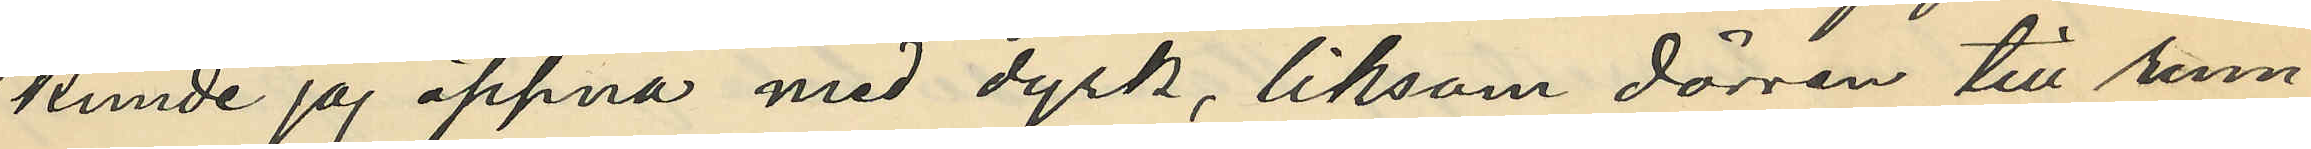kunde jag öppna med dyrk, liksom dörren till rum¬
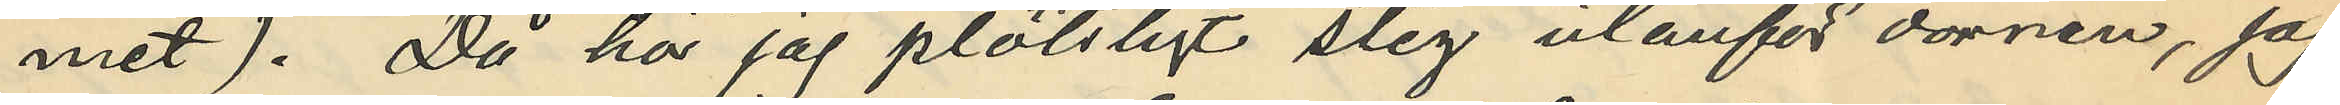met). Då hör jag plötsligt steg utanför dörren, jag
